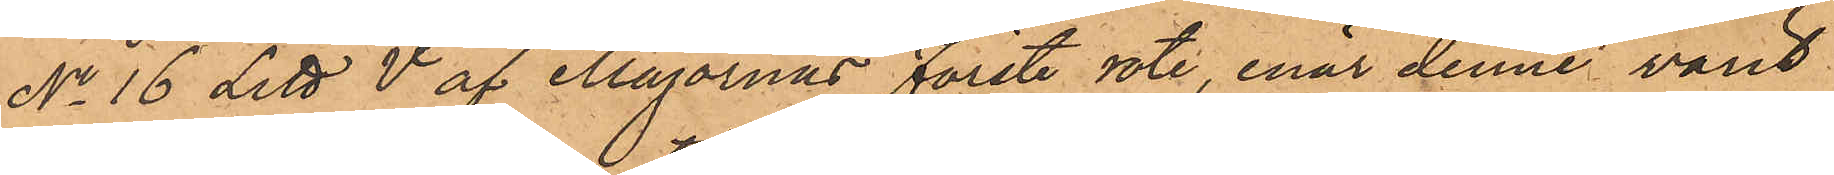No 16 Litt. V. af Majornas Förste rote, enär denne varit
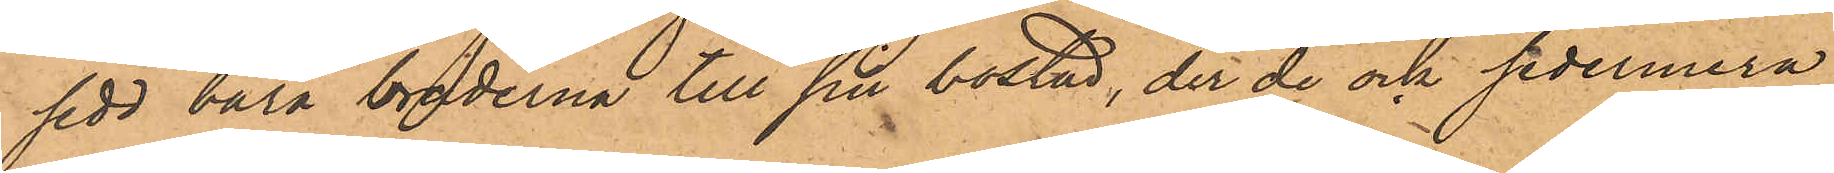sedd bära bräderna till sin bostad, der de ock sedermera
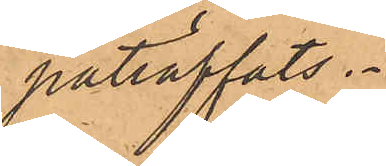påträffats.
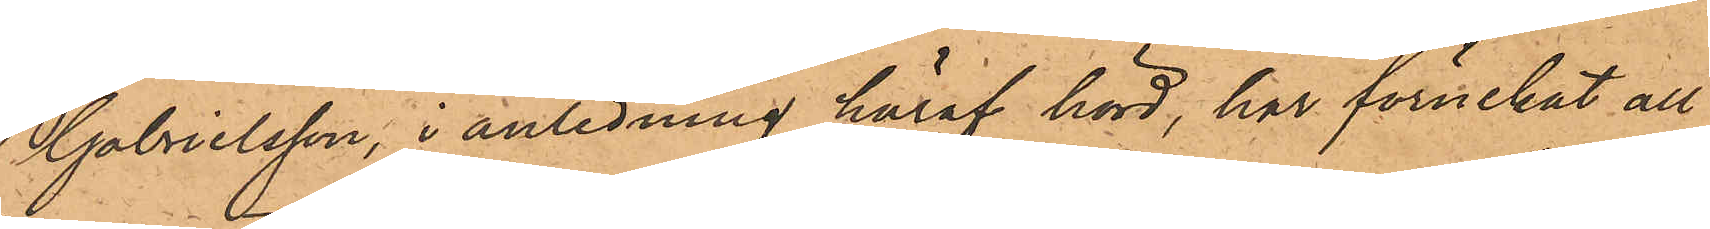Gabrielsson, i anledning häraf hörd, har förnekat all
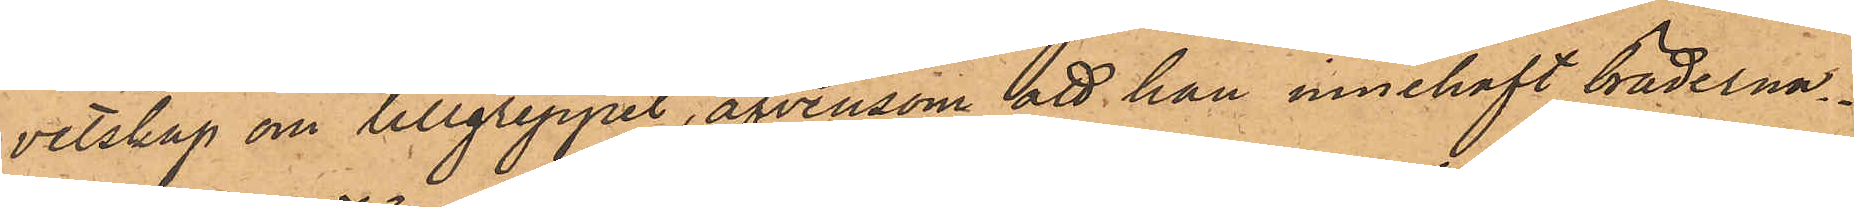vetskap om tillgreppet, äfvensom att han innehaft bräderna.
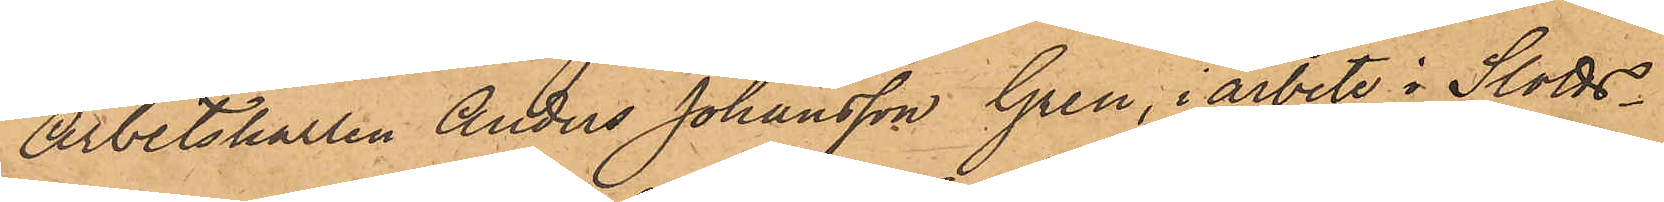Arbetskarlen Anders Johansson Gren, i arbete i Slotts¬
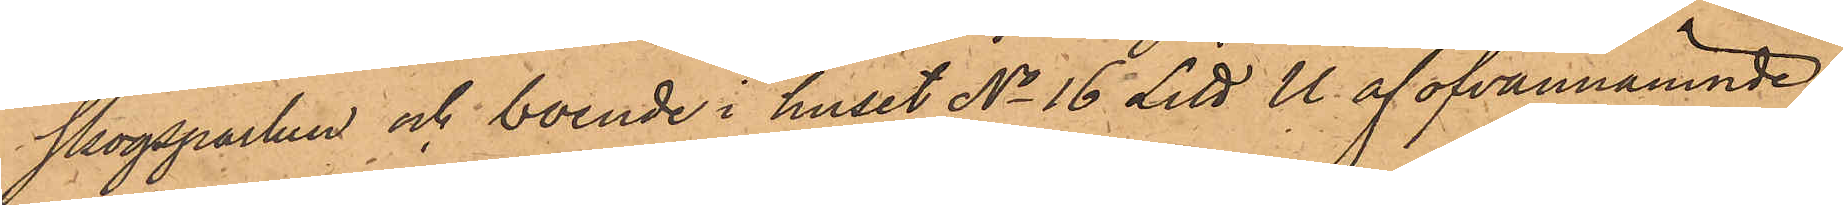skogsparken och boende i huset No 16 Litt. U. af ofvannämnde
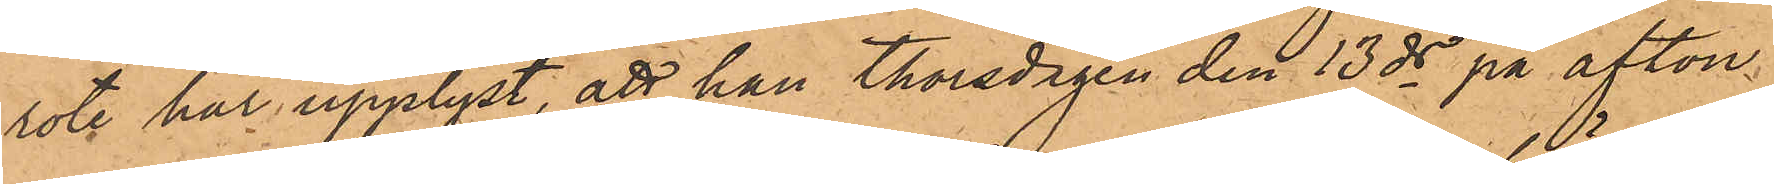rote har upplyst, att han Thorsdagen den 13 ds på afton
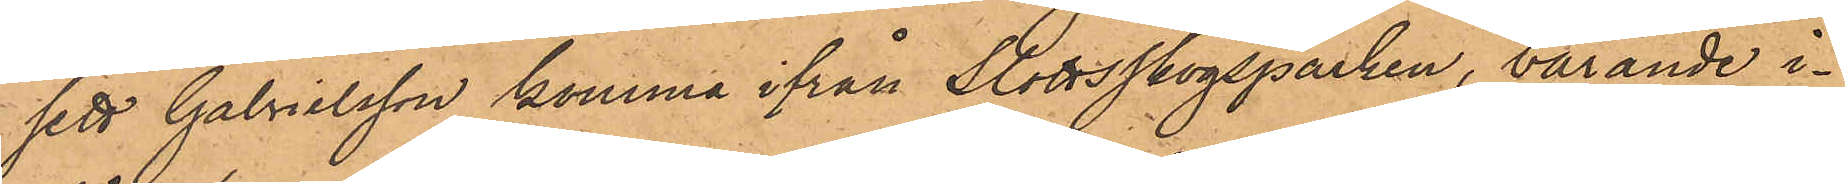sett Gabrielsson komma ifrån Slottsskogsparken, bärande i¬
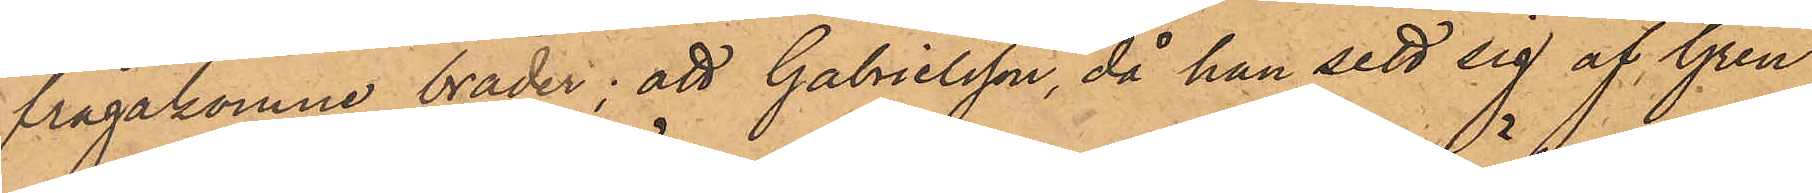frågakomne bräder; att Gabrielsson, då han sett sig af Gren
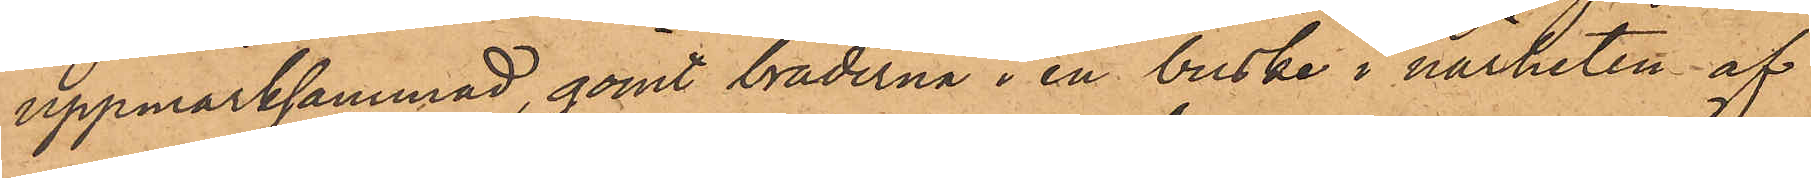uppmärksammad, gömt bräderna i en buske i närheten af
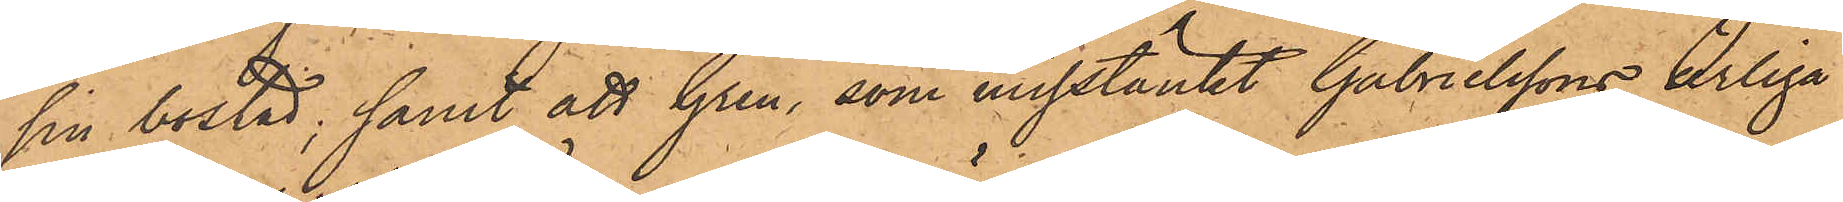sin bostad; samt att Gren, som misstänkt Gabrielssons ärliga
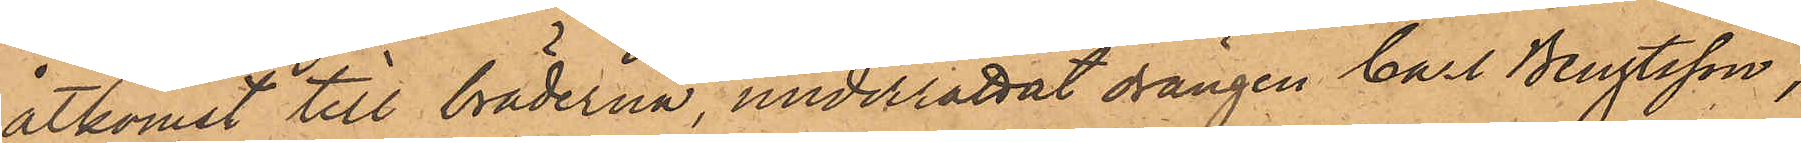åtkomst till bräderna, underrättat drängen Carl Bengtsson,
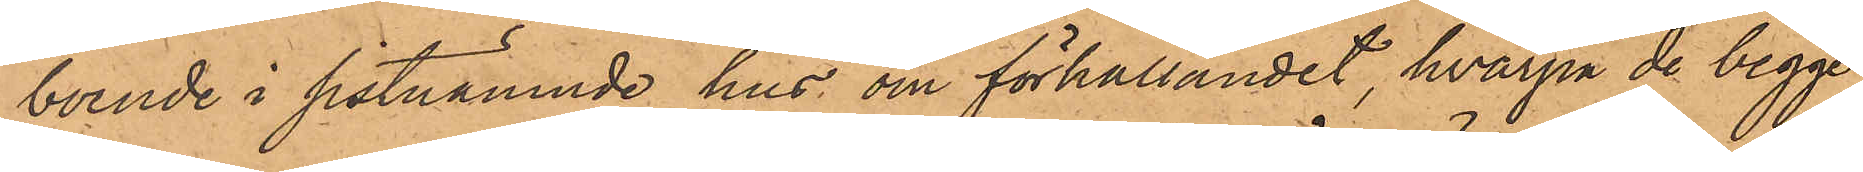boende i sistnämnde hus om förhållandet, hvarpå de begge
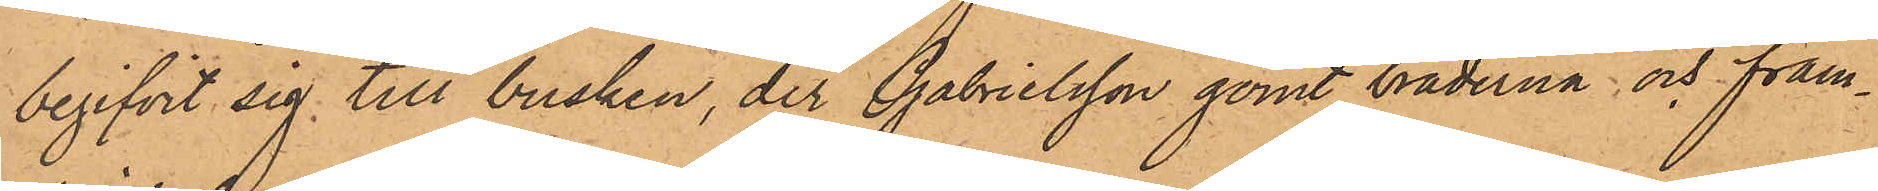begifvit sig till busken, der Gabrielsson gömt bräderna; och fram¬
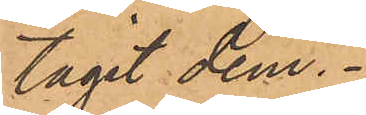tagit dem.
